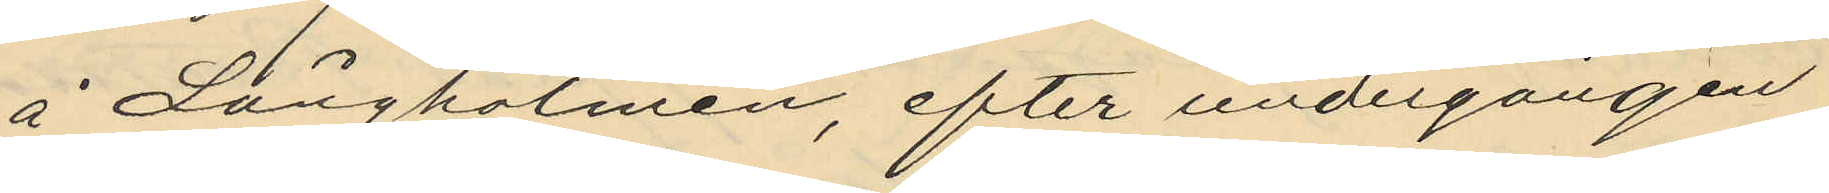å Långholmen, efter undergången
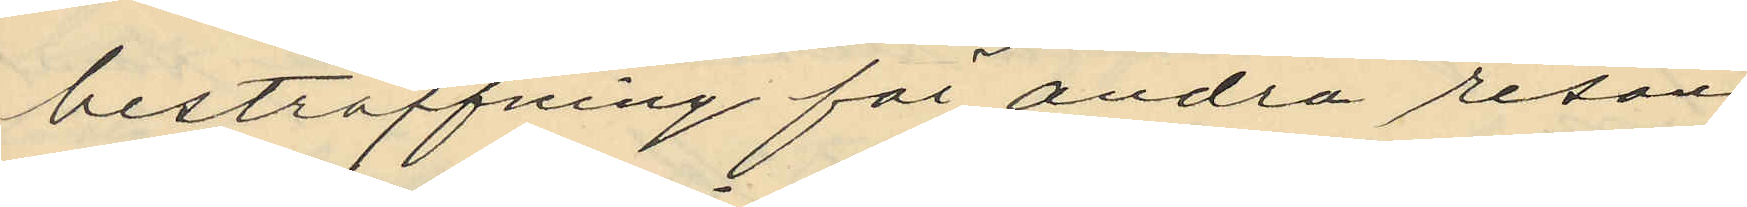bestraffning för andra resan
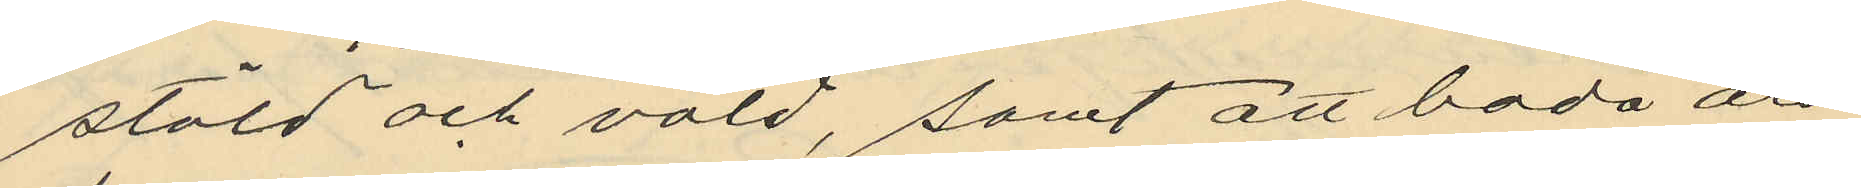stöld och våld, samt att båda äro
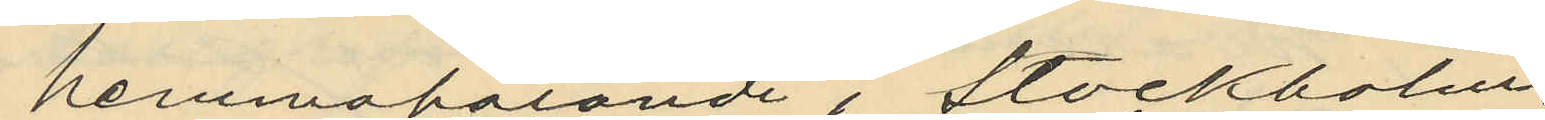hemmahörande i Stockholm
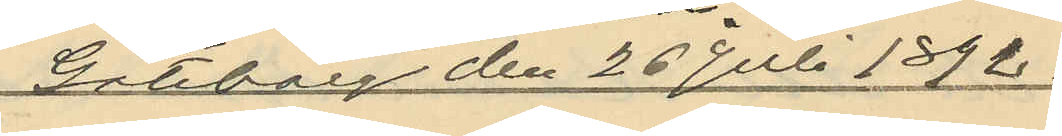Göteborg den 26 Juli 1892.
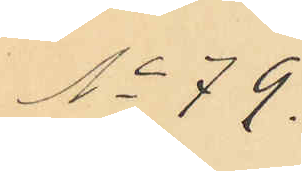No 79.
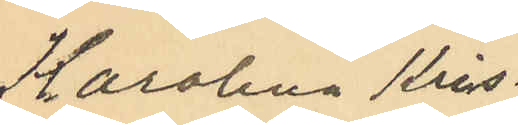Karolina Kris¬
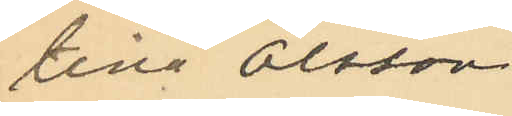tina Olsson.
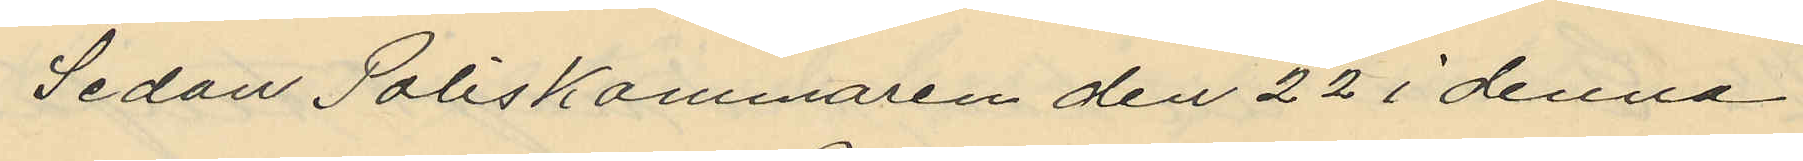Sedan Poliskammaren den 22 i denna
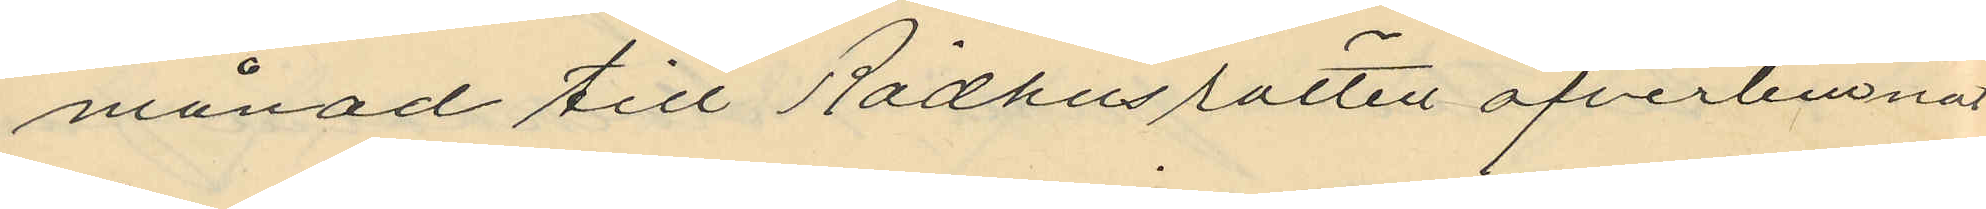månad till Rådhusrätten öfverlemnat
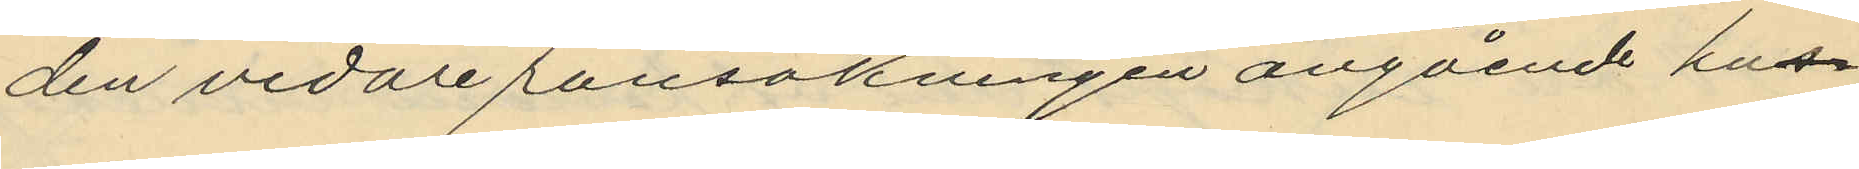den vidare ransakningen angående hus
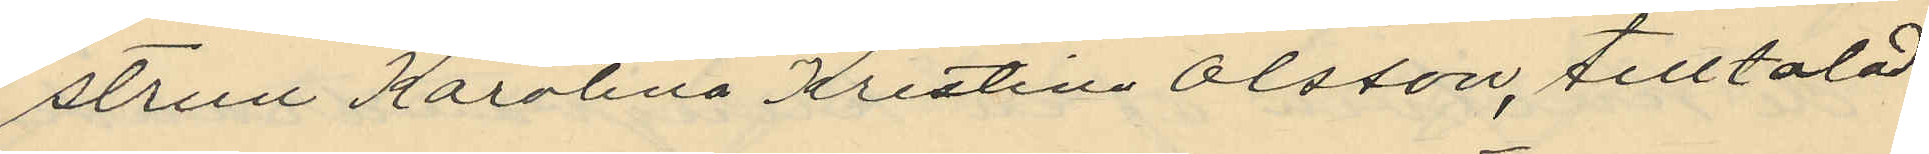strun Karolina Kristina Olsson, tilltalad
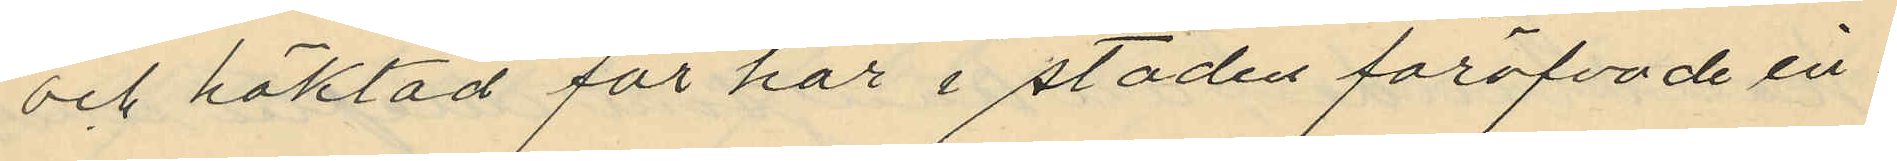och häktad för här i staden föröfvade in¬
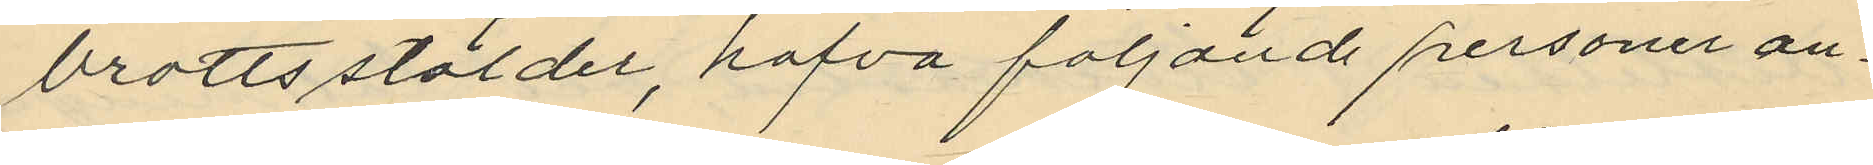brottsstölder, hafva följande personer an¬
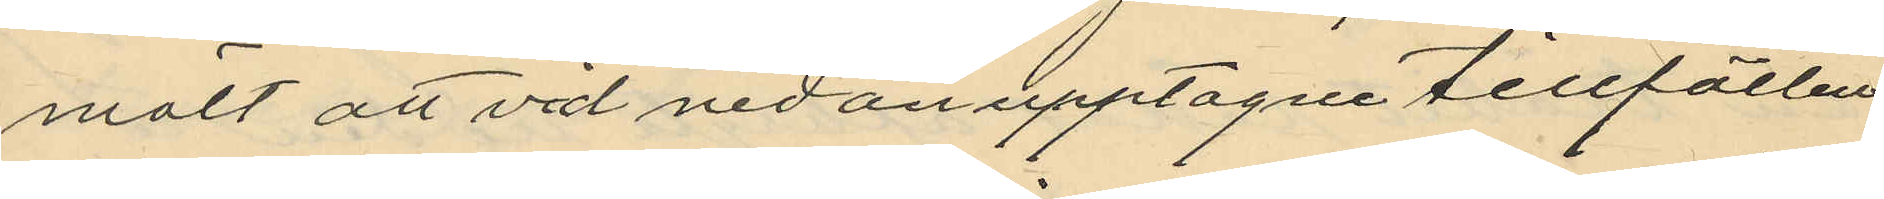mält att väl nedanupptagne tillfällen
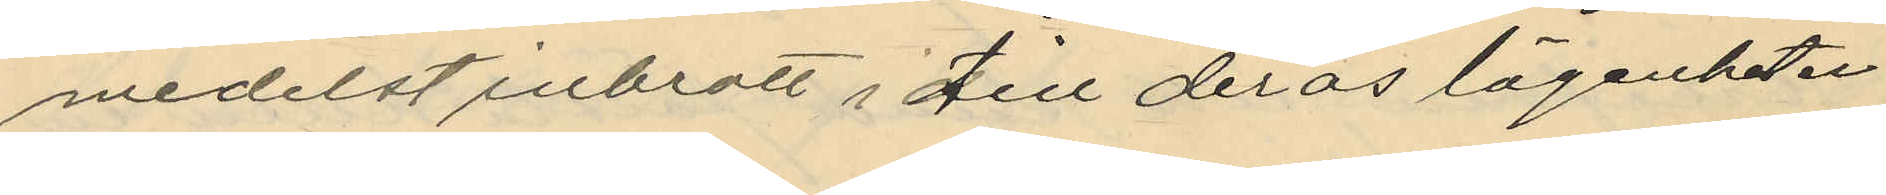medelst inbrott i till deras lägenheter
